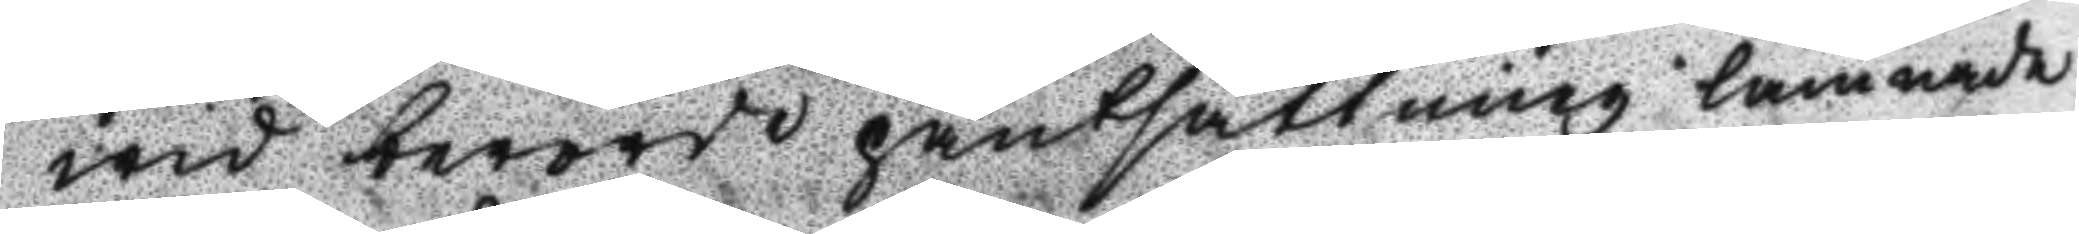wid berörde pantsättning lämnade
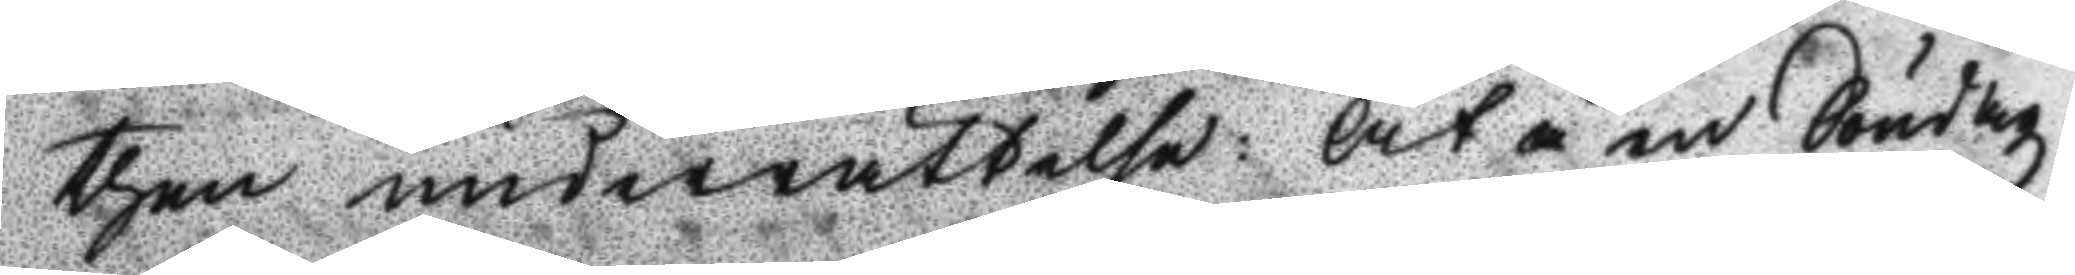then underrättelse: At å en Söndagz
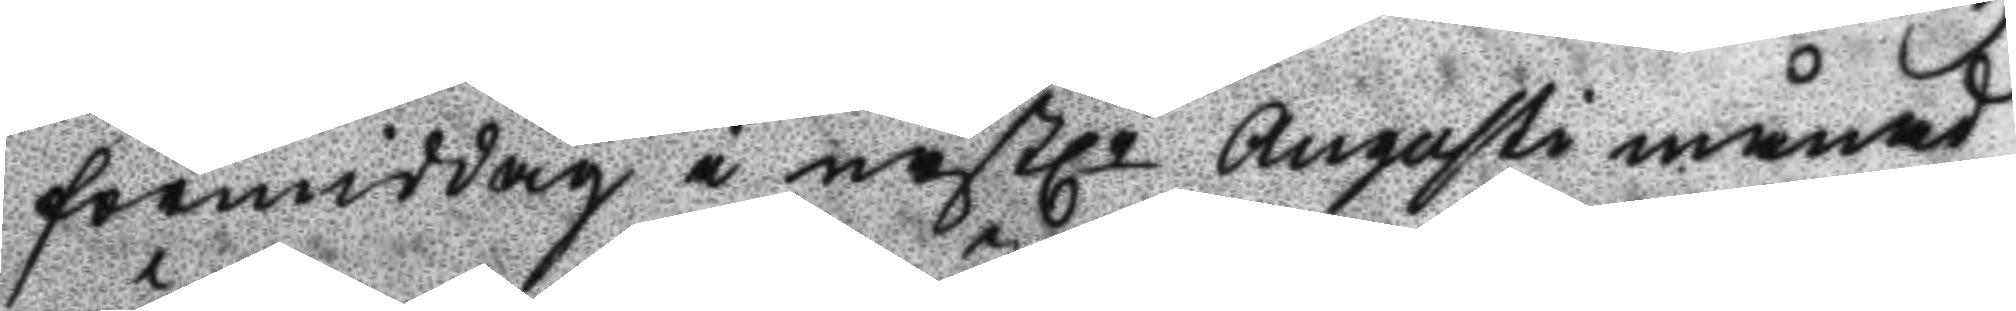förmiddag i nästle Augusti månad
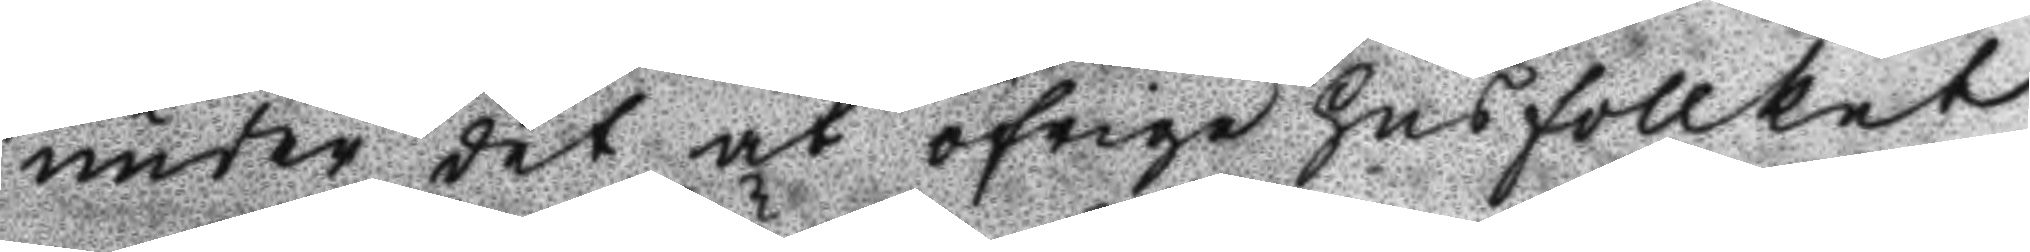under det at öfrige Husfollket
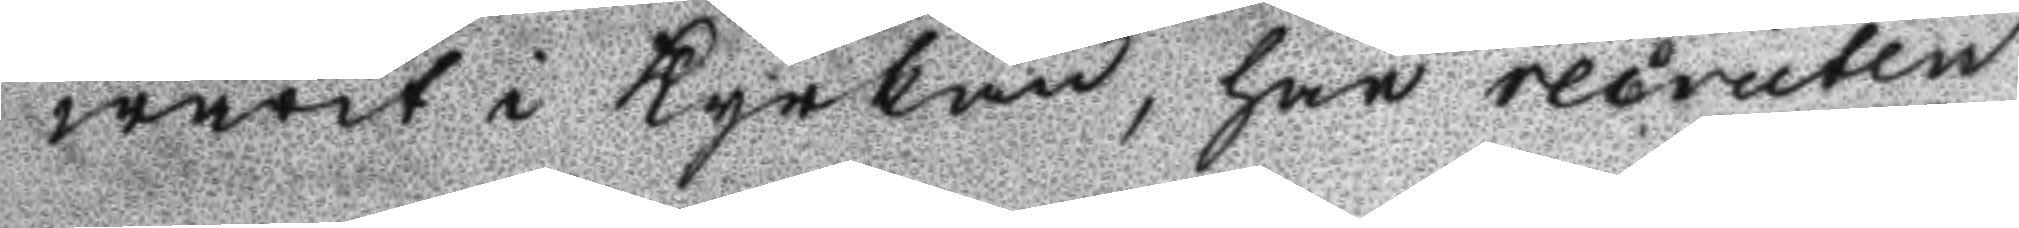warit i Kyrkan, har recruten
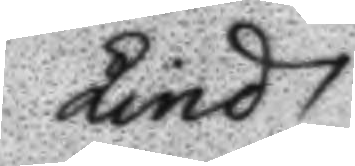Lind
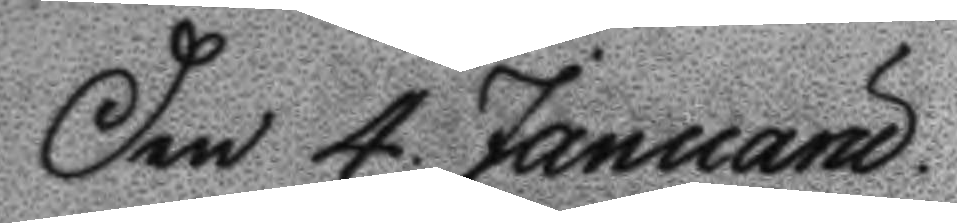Den 4. Januarii
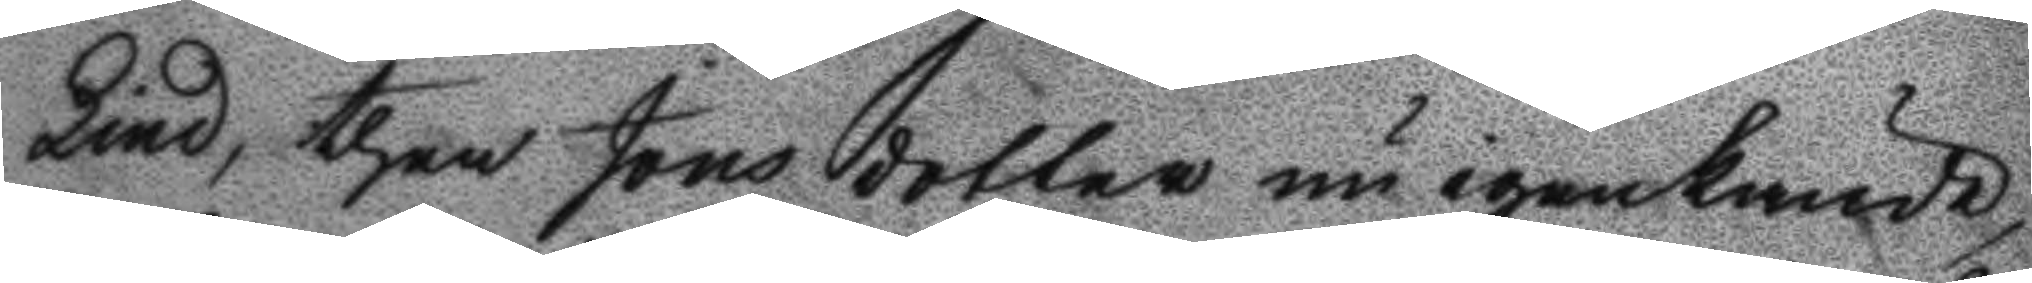Lind, then Jöns dotter nu igenkände,
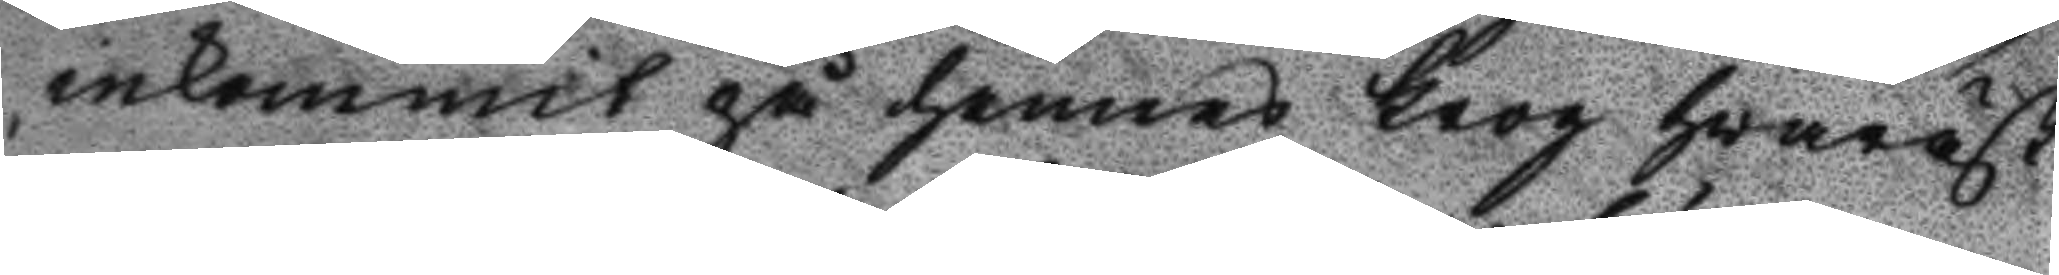inkommit på hennes krog hvaräst
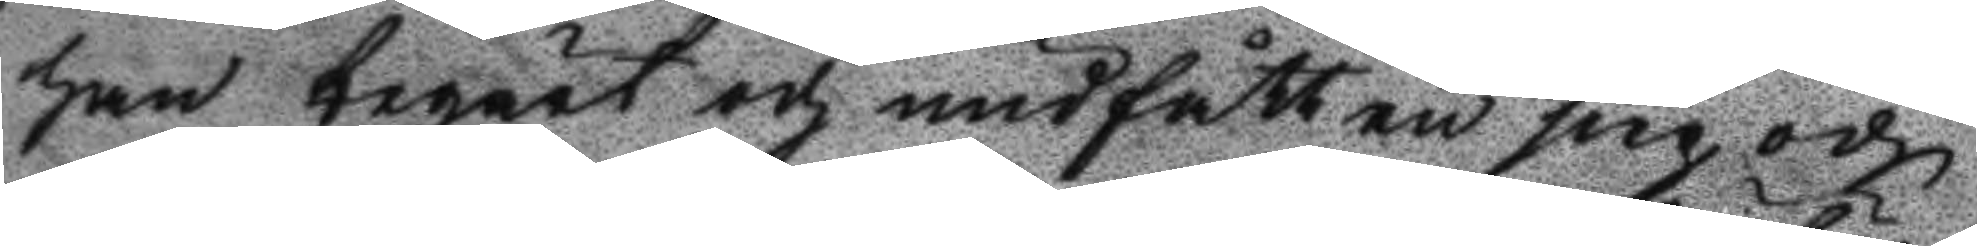han begärt och undfått en sup och
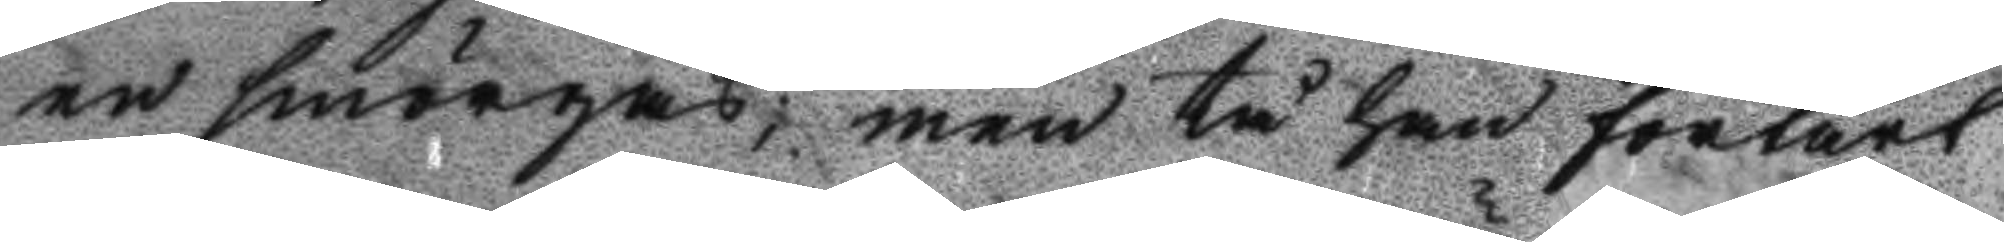en smörgås; men tå han förtärt
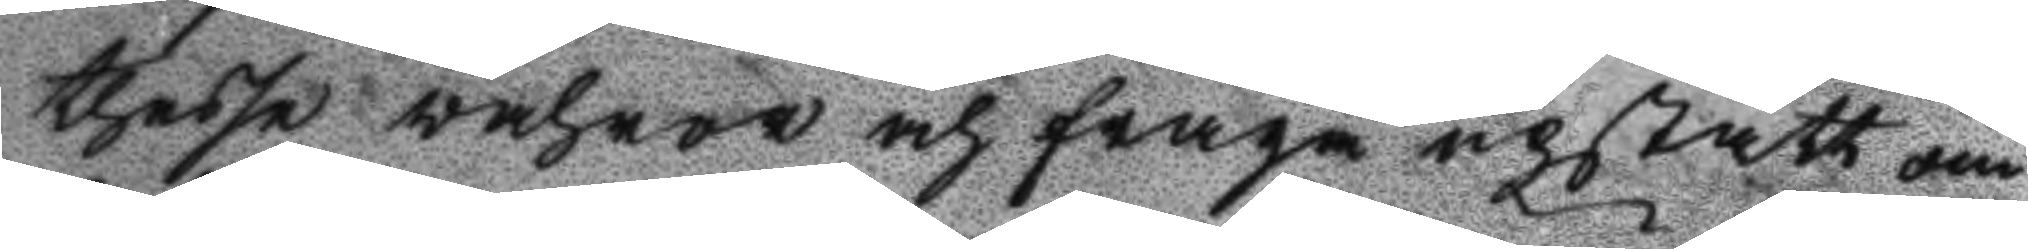thesse vahror och fråga upstått om
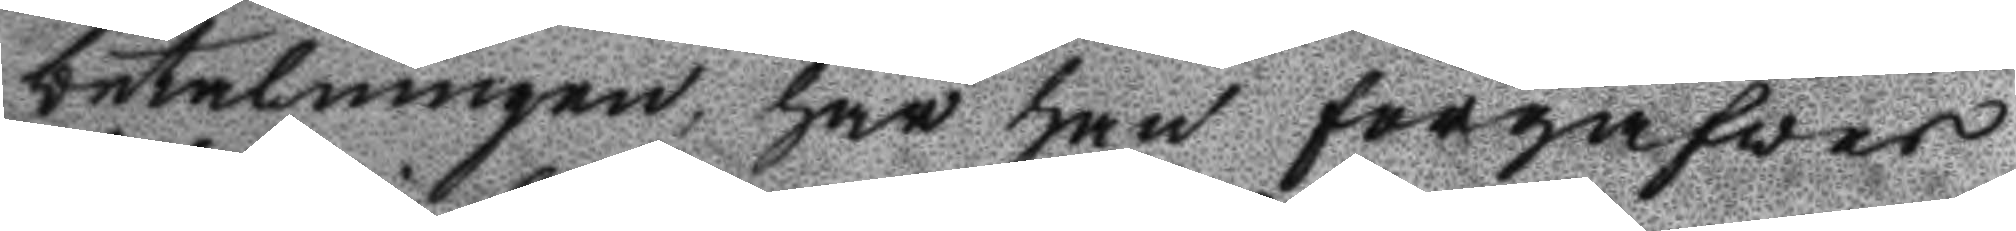betalningen, har han förgäfves
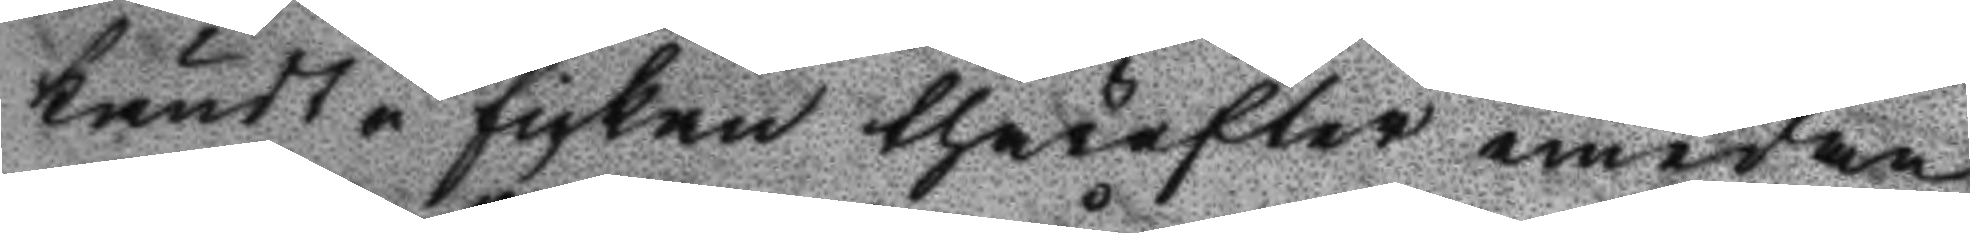kändt i fickan thärefter emedan
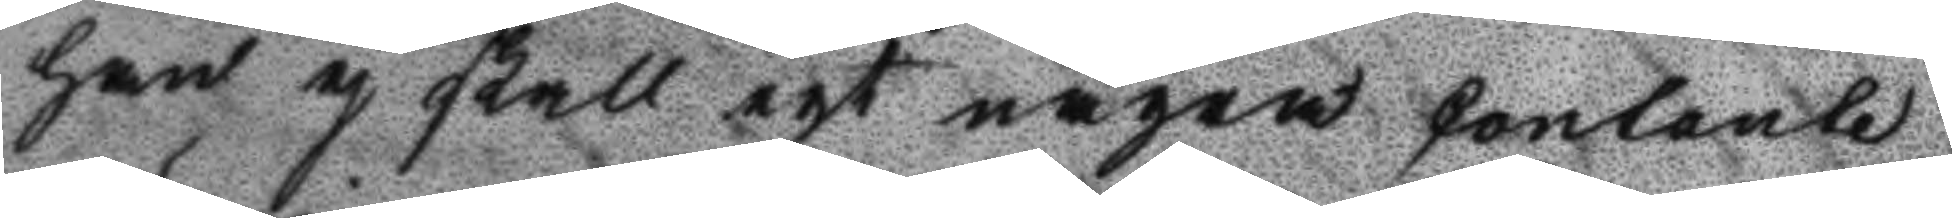han ej skall egt några contante
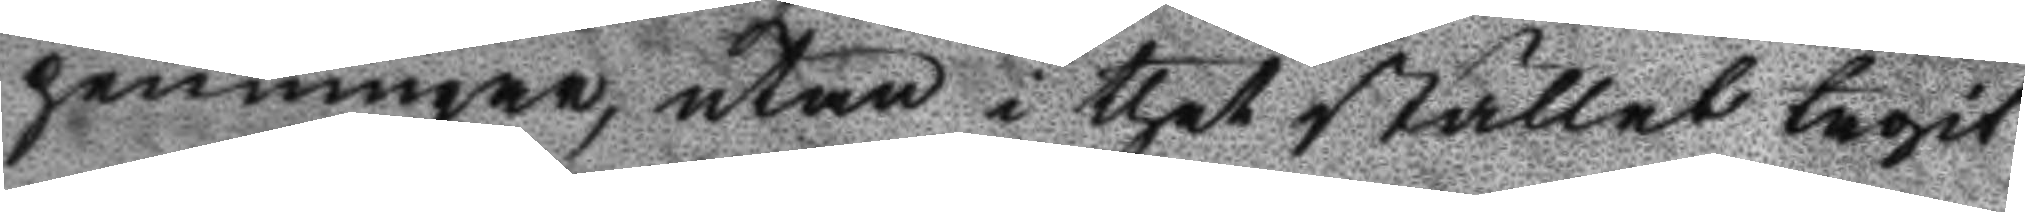pänninar, utan i thet stället tagit
